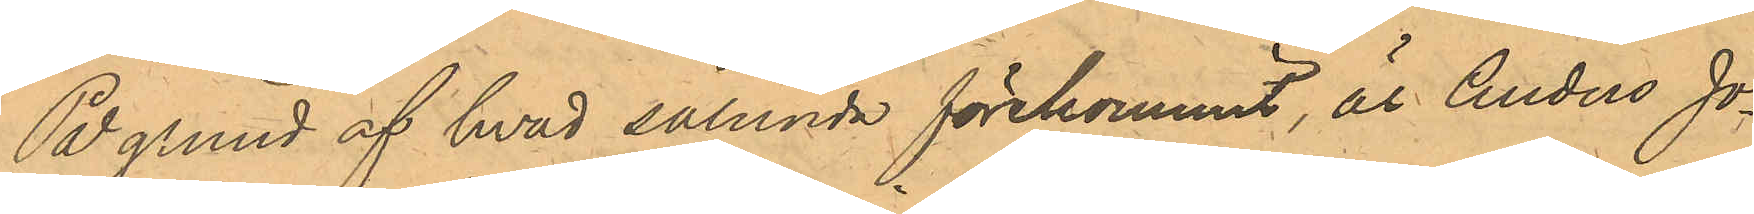På grund af hvad sålunda förekommit, är Anders Jo¬
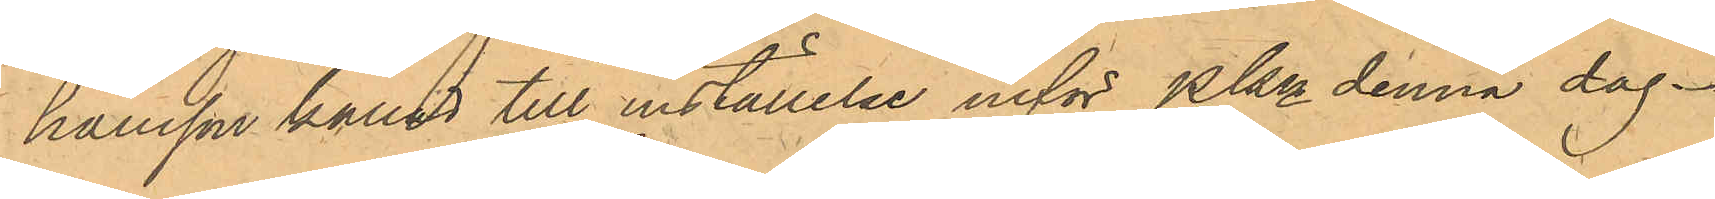hansson kallad till inställelse inför PKn denna dag.
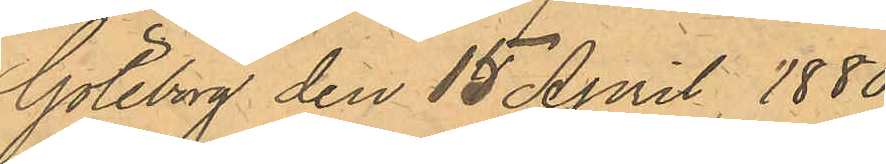Göteborg den 15 April 1880.
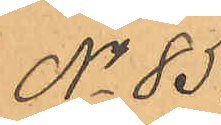No 85.
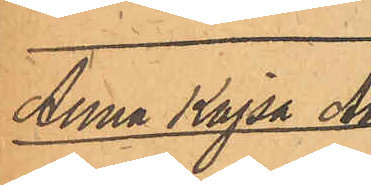Anna Kajsa An¬
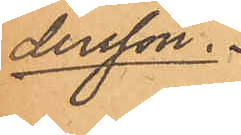dersson.
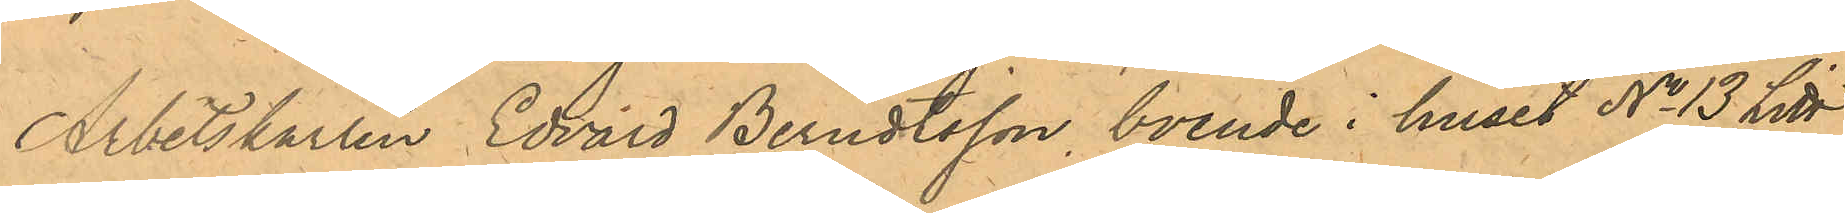Arbetskarlen Edvard Berndtsson boende i huset No 13 Litt
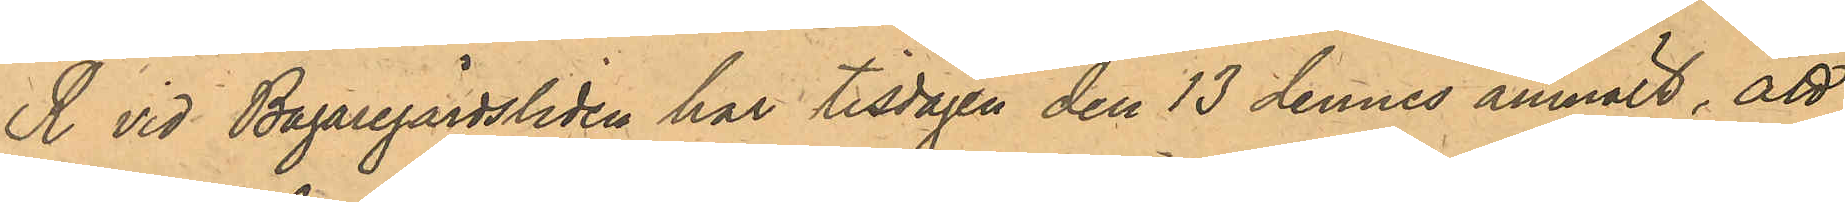R vid Bagaregårdsliden har tisdagen den 13 dennes anmält, att
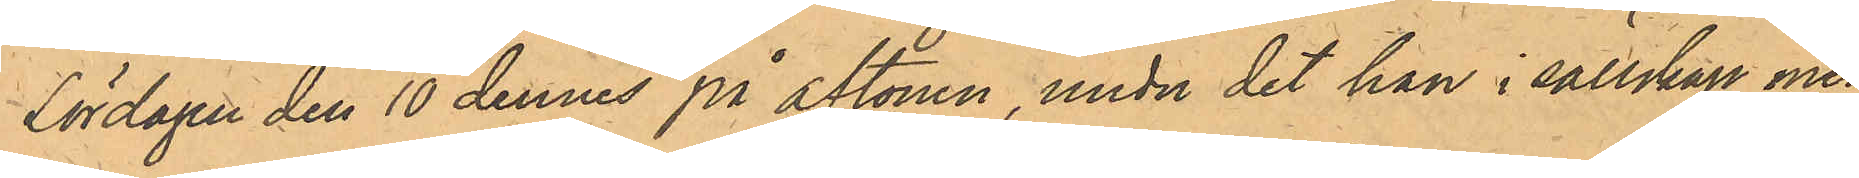Lördagen den 10 dennes på aftonen, under det han i sällskap med
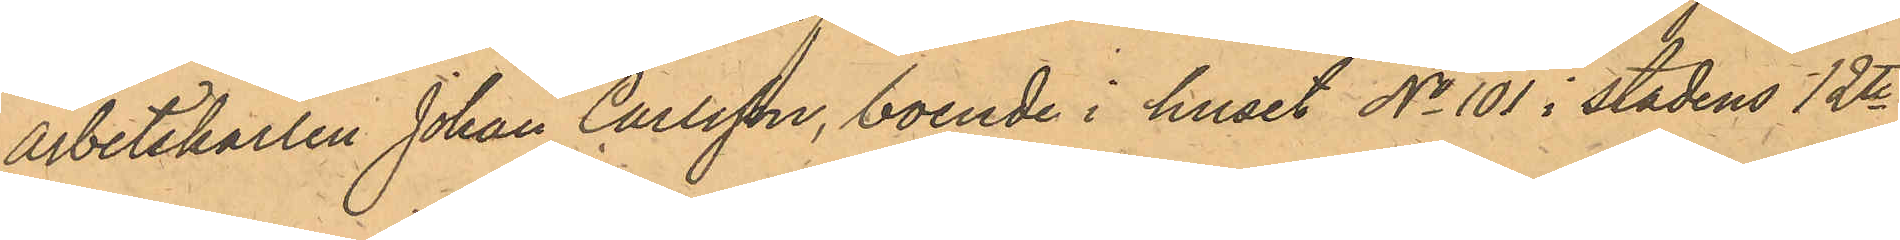Arbetskarlen Johan Carlsson, boende i huset No 101 i stadens 12te
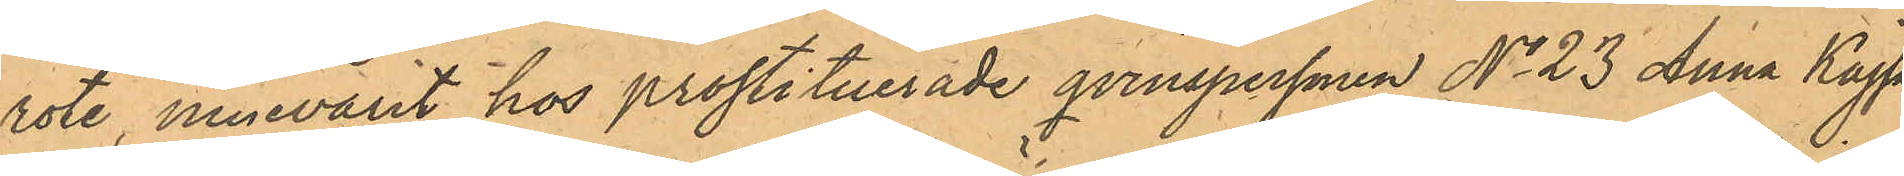rote, innevarit hos prostituerade qvinspersonen No 23 Anna Kajsa
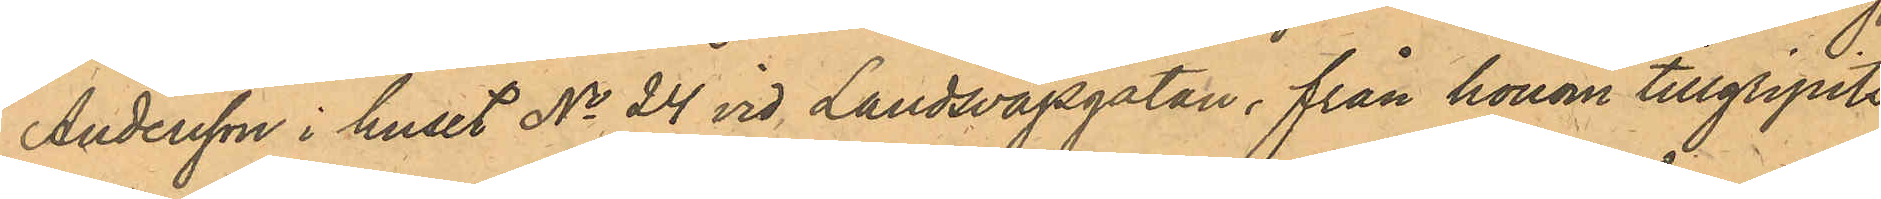Andersson i huset No 24 vid Landsvägsgatan, från honom tillgripits
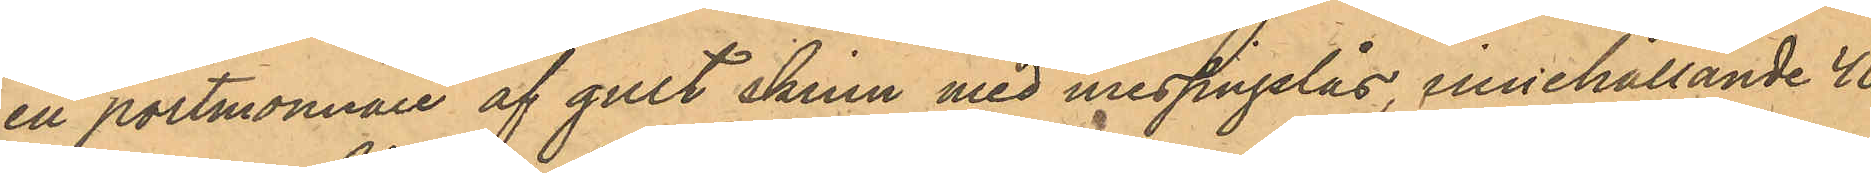en portmonnaie af gult skinn med messingslås, innehållande 40
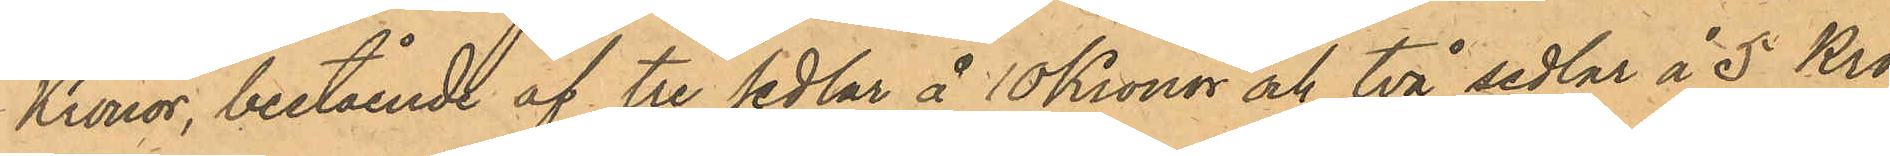Kronor, bestående af tre Sedlar å 10 Kronor och två sedlar å 5 Kro¬
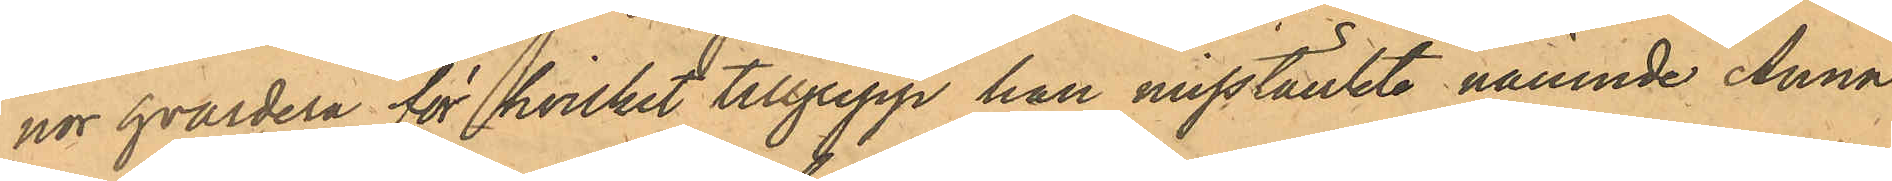nor hvardera, för hvilket tillgrepp han misstänkte nämnde Anna
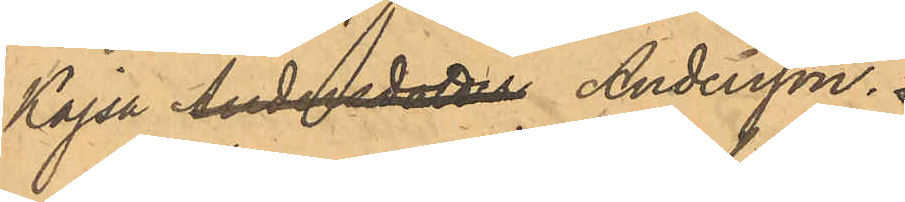Kajsa Andersdotter Andersson.
